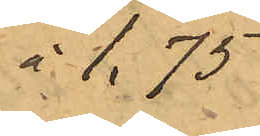 1,75
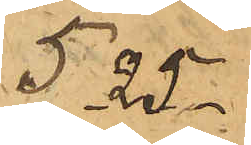5.25
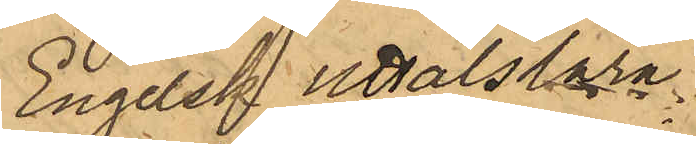Engelsk uttalslära
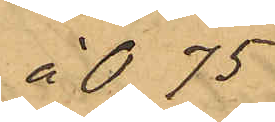à 0.75
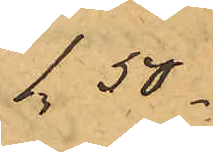1,50
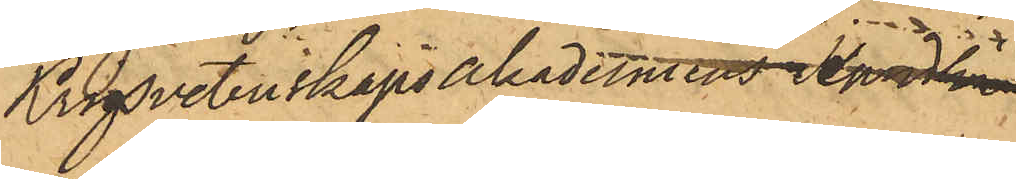Krigsvetenskapsakademiens Handlin¬
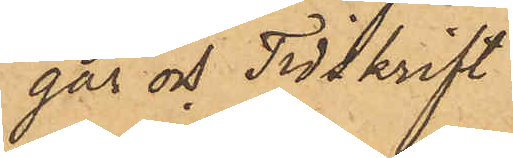gar och Tidskrift
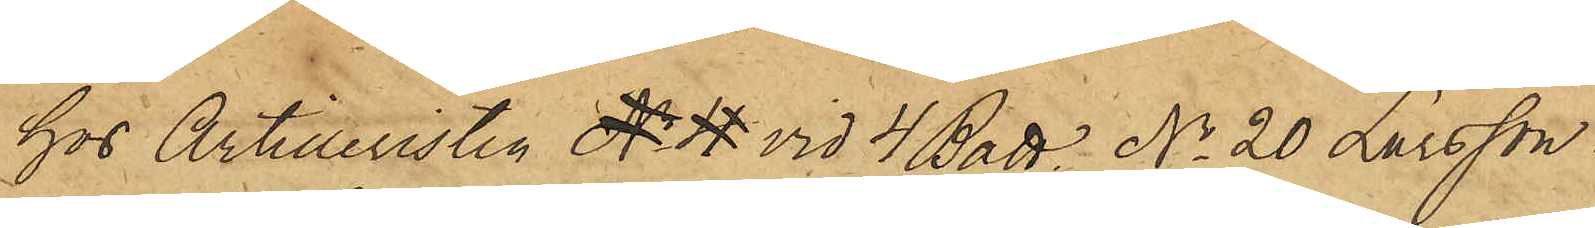hos Artilleristen No 4 vid 4 Batt. No 20 Larsson
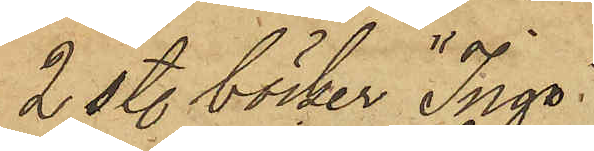2 sty. böcker "Ingo"
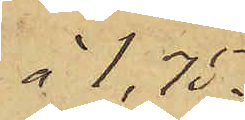à 1,75.
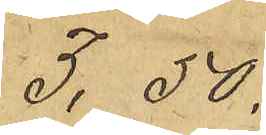3,50.
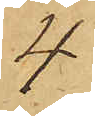4
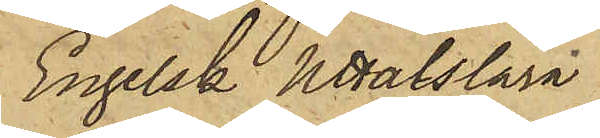Engelsk Uttalslära
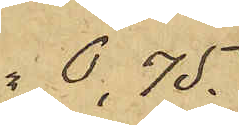 0,75.
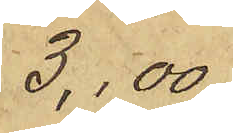3,00
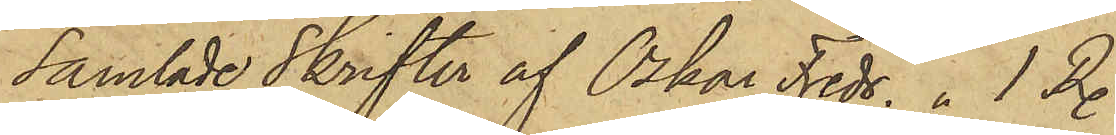Samlade Skrifter af Oskar Fredr. 1 Rdr
